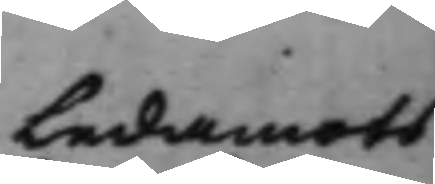Ledamots
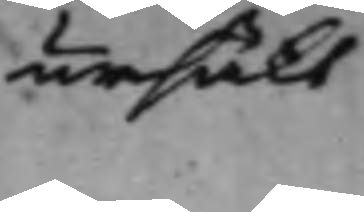ursäkt
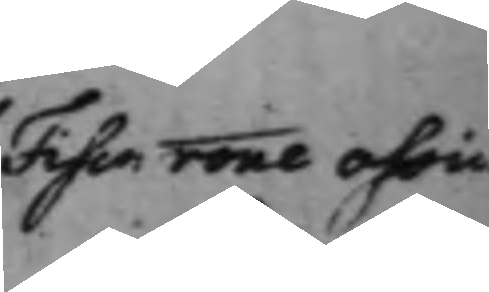Fisc: rone oh
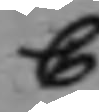C
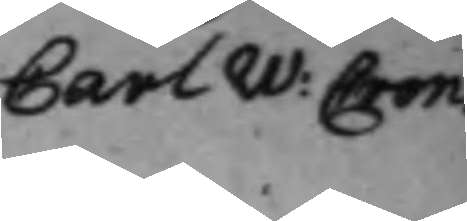Carl W: Cron:
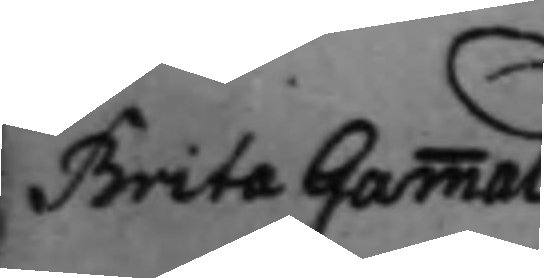Brita Gammal 
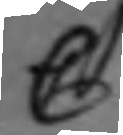C
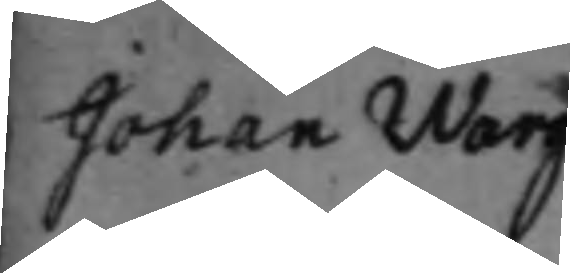Johan Warg 
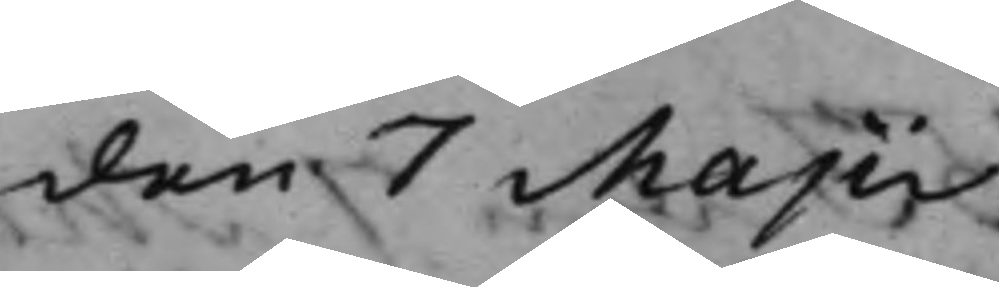den 7 Majii.
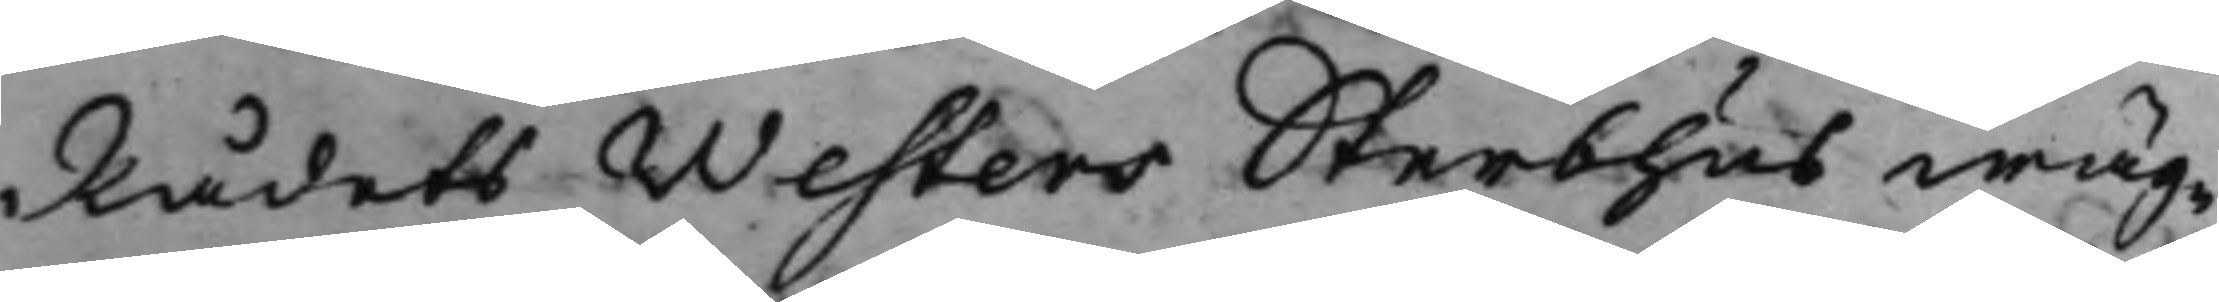Rådets Westers Sterbhus wäg¬
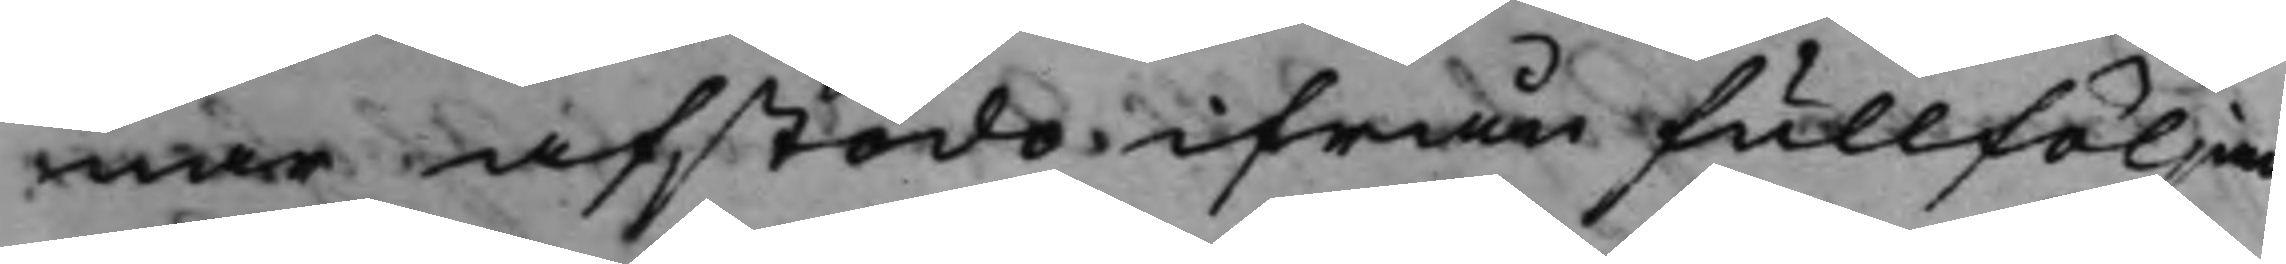nar afstodo ifrån fullföljan¬
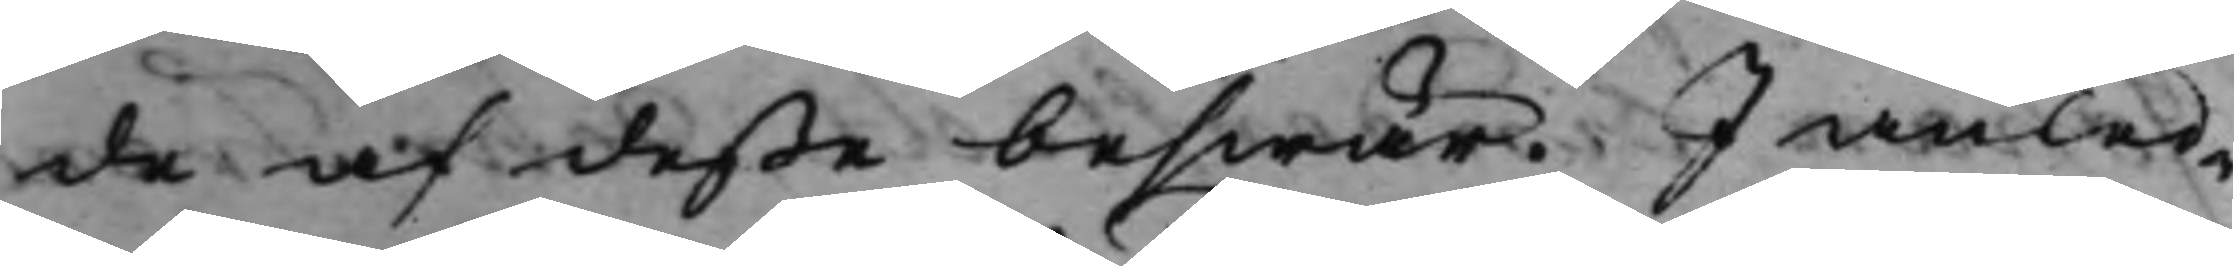de af deße beswär. I anled¬
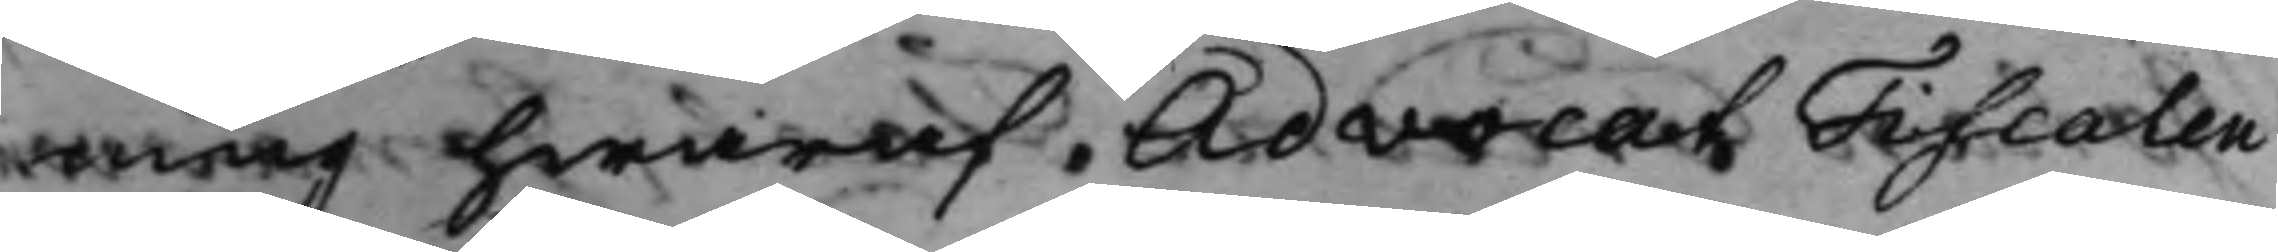ning hwaraf AdvocatFiscalen
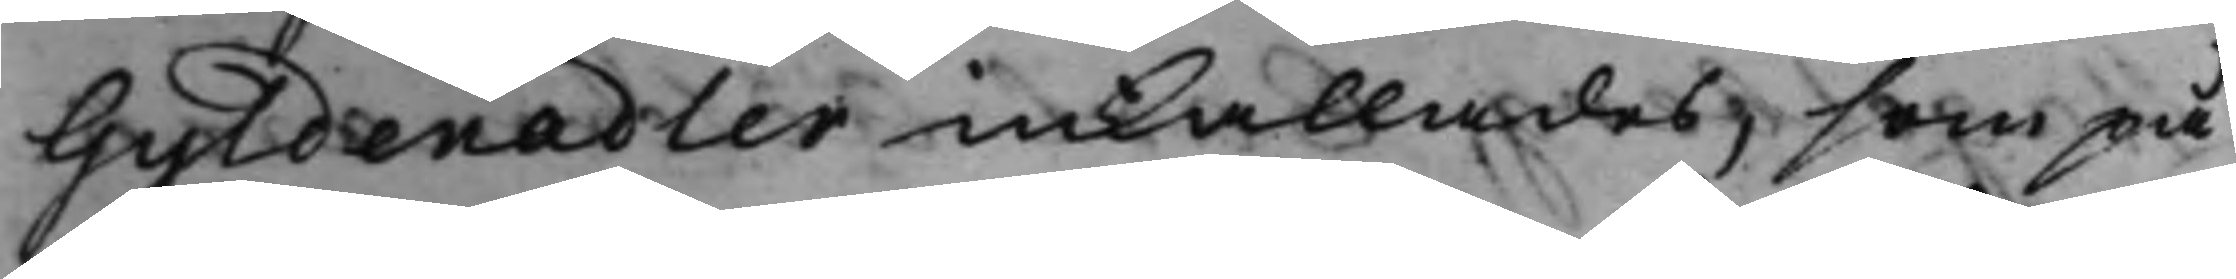Gyldenadler inkallades, som på
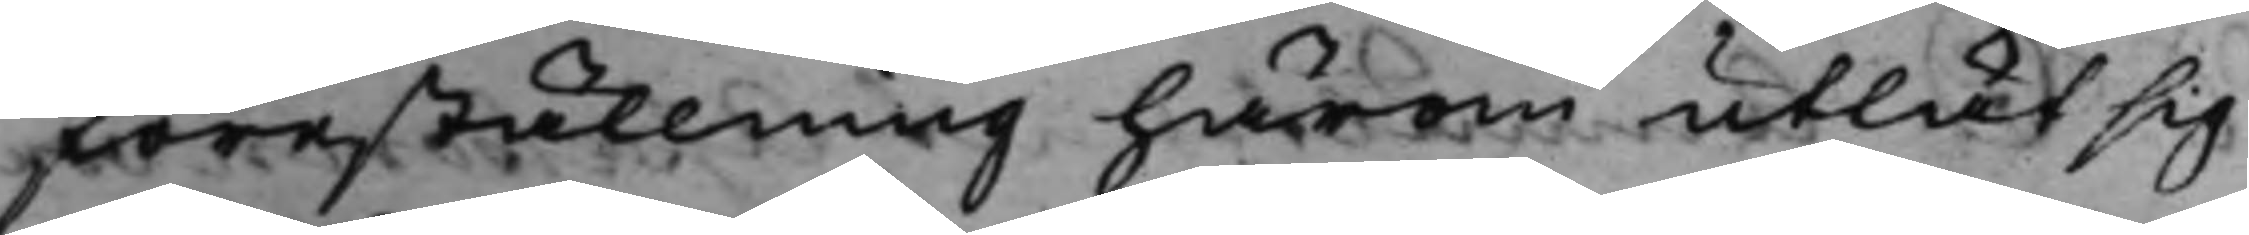föreställning härom utlät sig
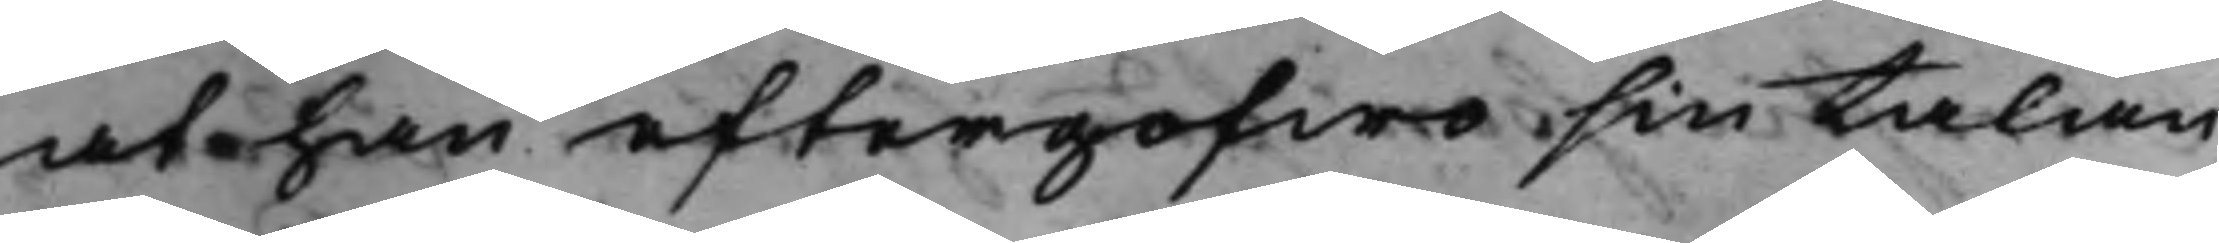at han eftergofwo sin talan
